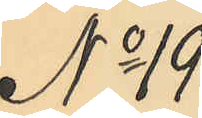No 19
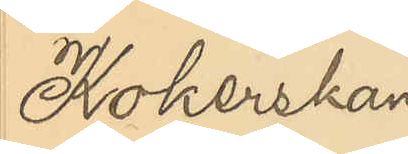Kokerskan
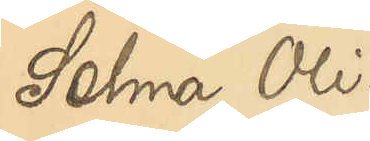Selma Oli¬
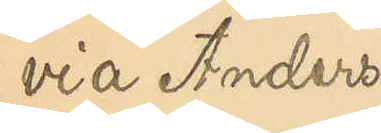via Anders¬
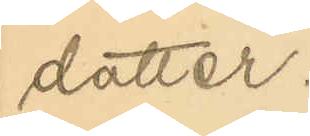dotter.
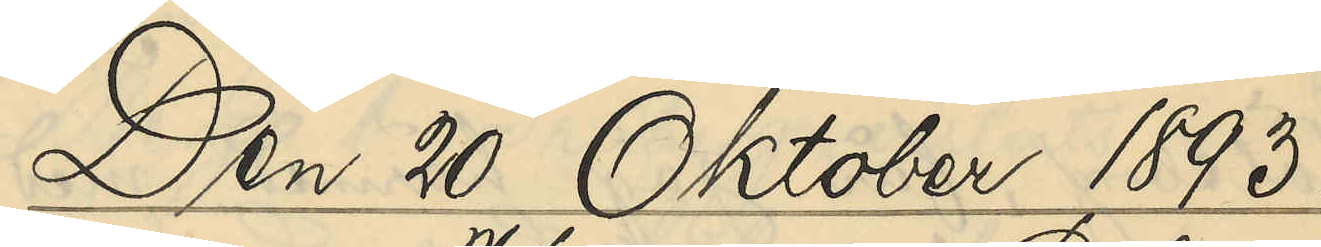Den 20 Oktober 1893.
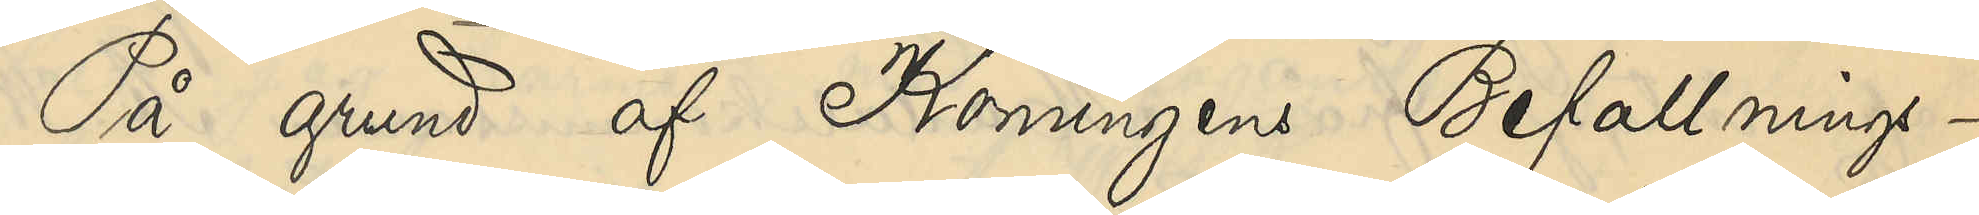På grund af Konungens Befallnings¬
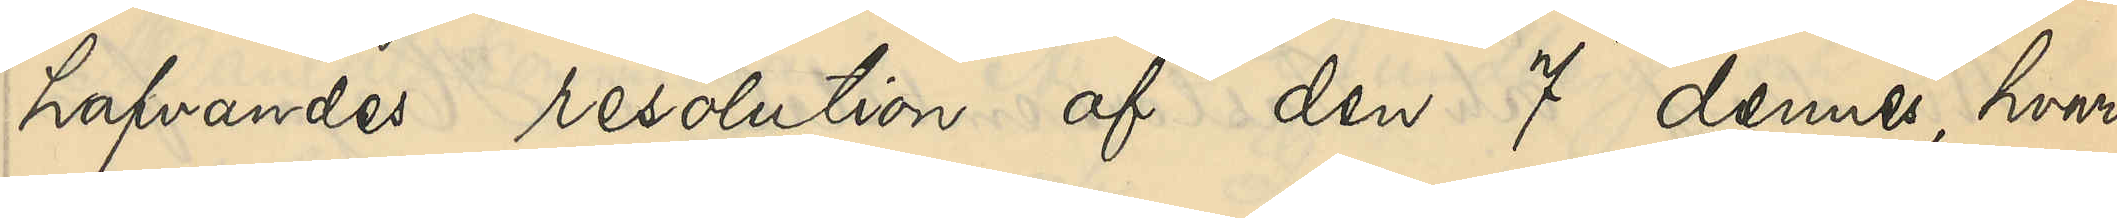hafvandes resolution af den 7 dennes, hvari¬
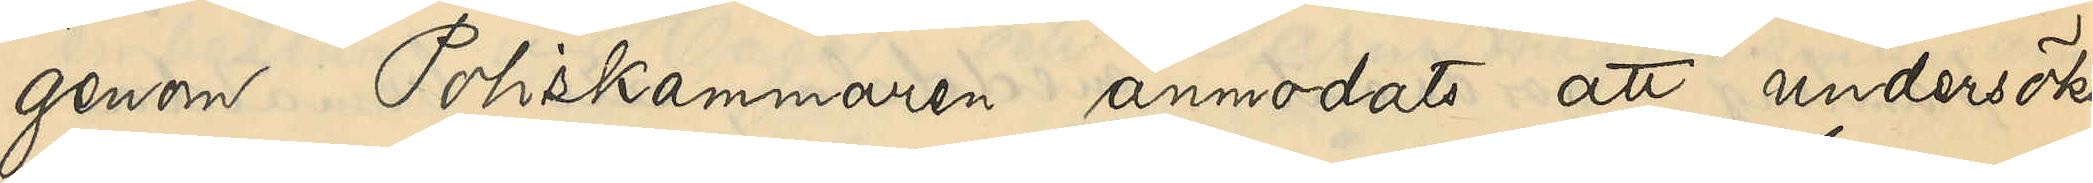genom Poliskammaren anmodats att undersöka
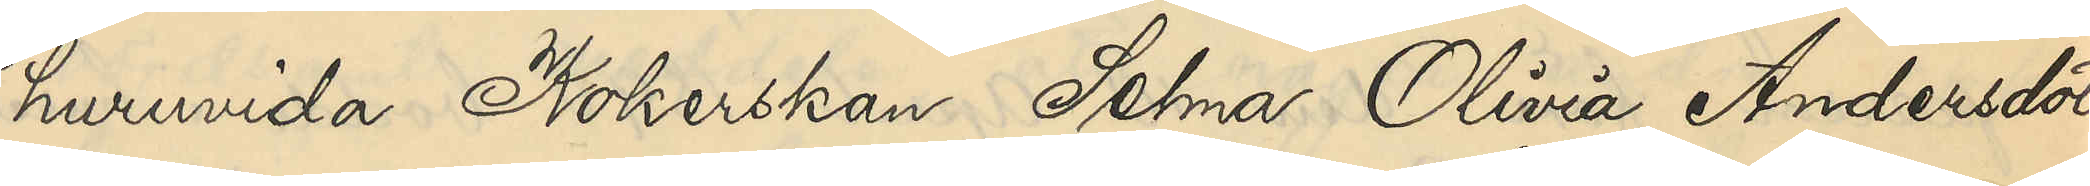huruvida Kokerskan Selma Olivia Andersdotter
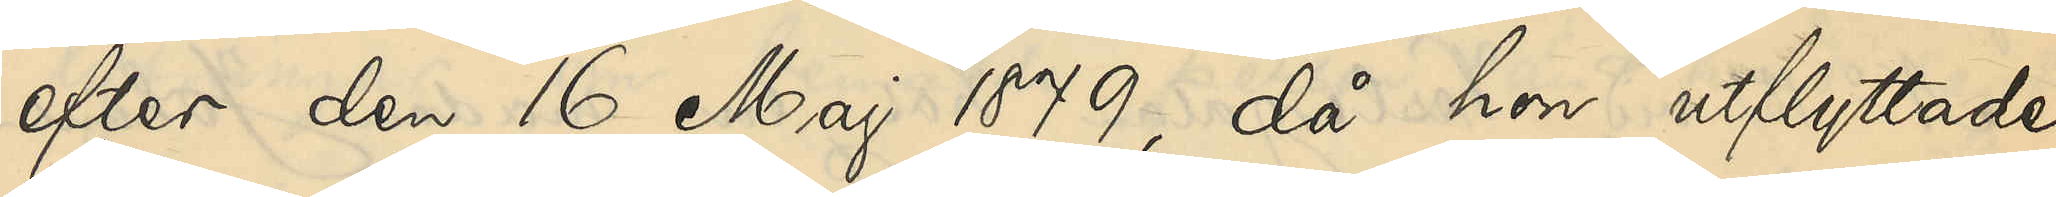efter den 16 Maj 1879, då hon utflyttade
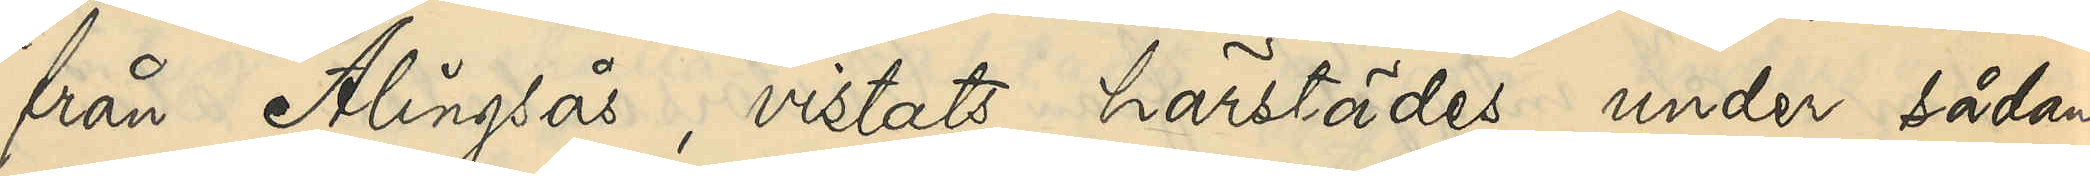från Alingsås, vistats härstädes under sådana
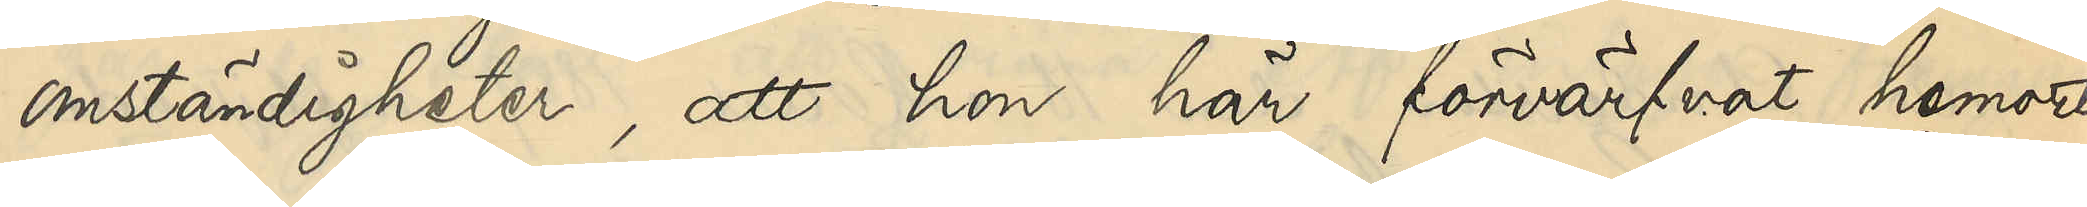omständigheter, att hon här förvärfvat hemorts¬
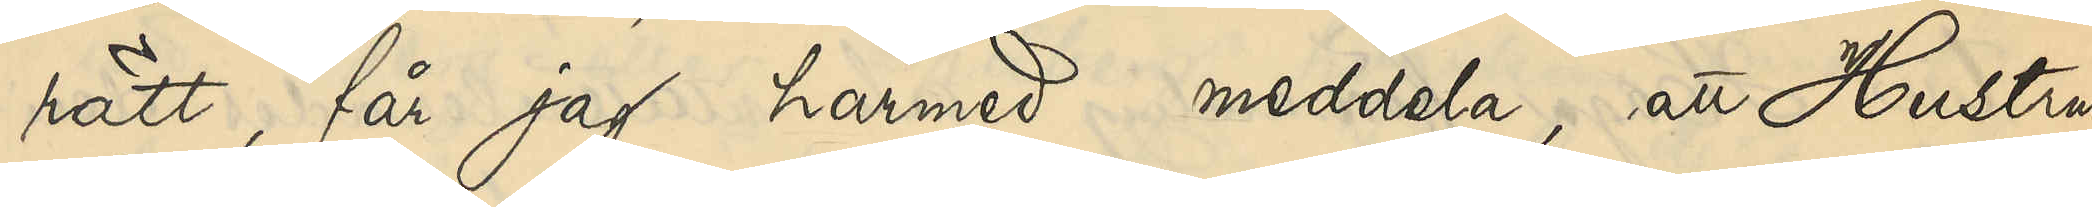rätt, får jag härmed meddela, att Hustrun
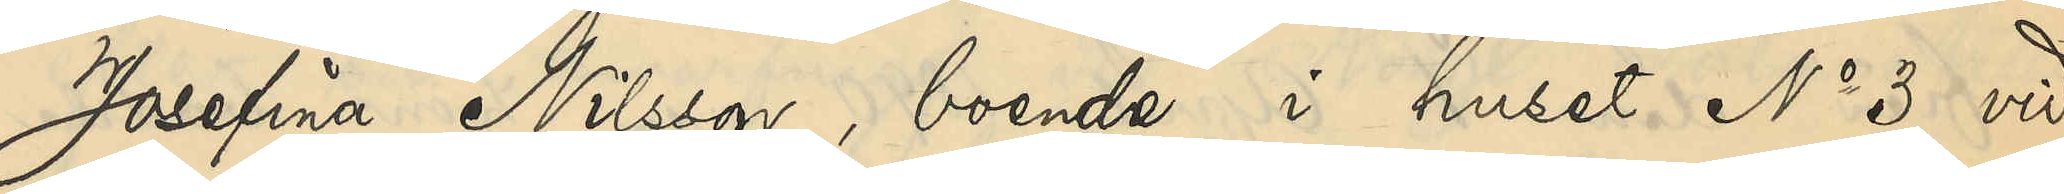Josefina Nilsson, boende i huset No 3 vid
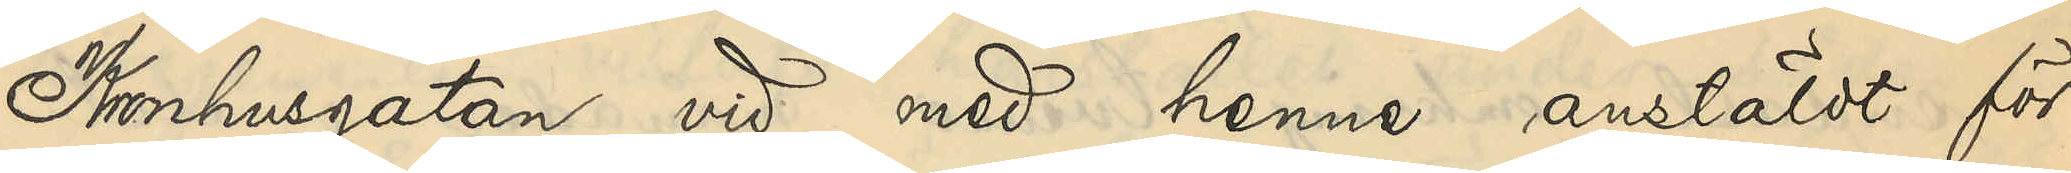Kronhusgatan, vid med henne anstäldt för¬
